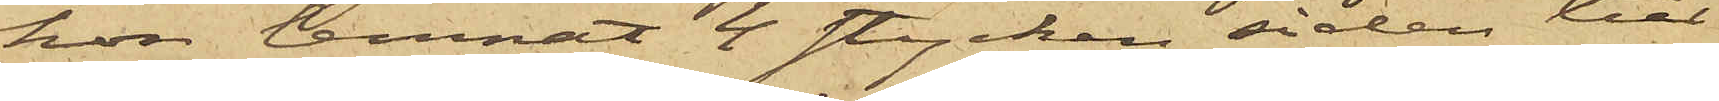hon lemnat 4 stycken siden till
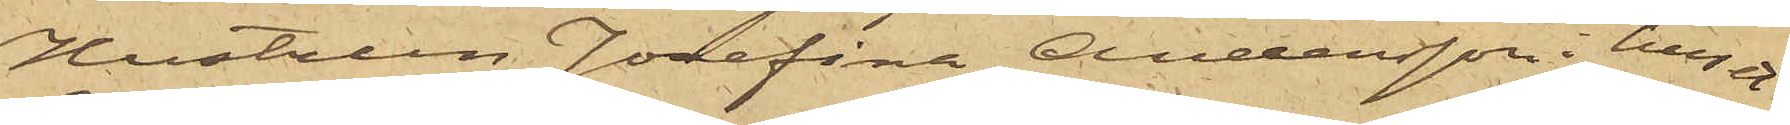Hustrun Josefina Andersson i huset
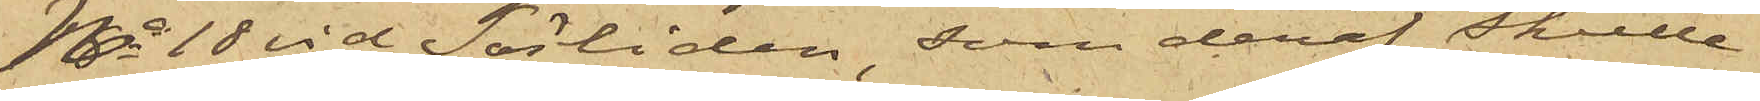No 18 vid Sörliden, som deraf skulle
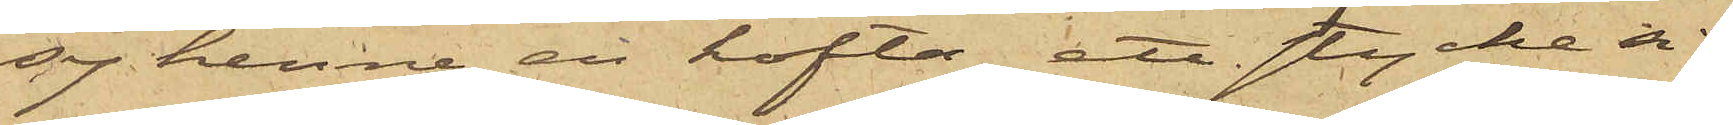sy henne en kofta, ett stycke si¬
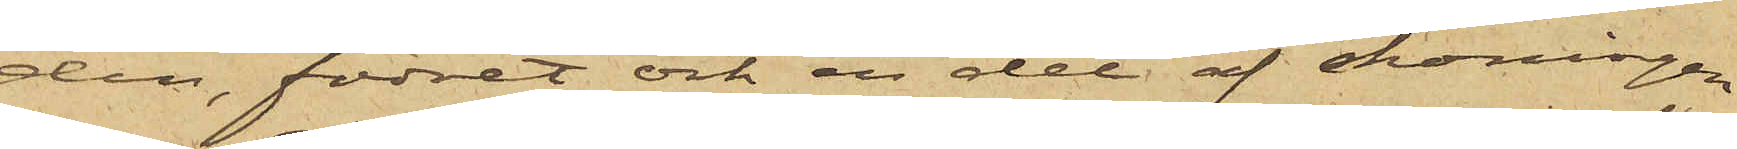den, fodret och en del af skoningen
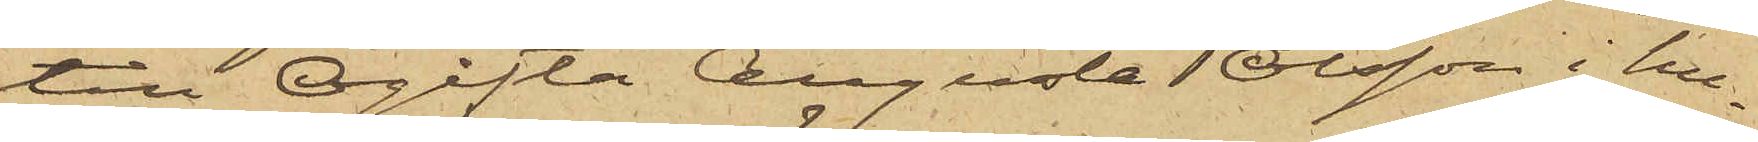till Ogifta Augusta Olsson i hu¬
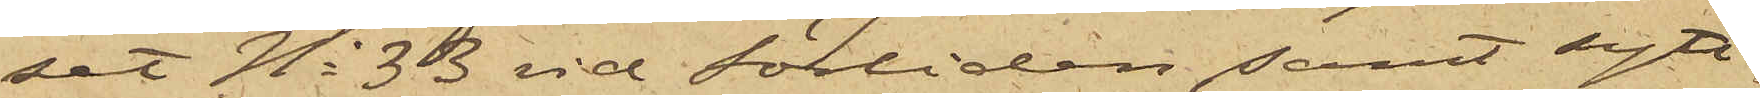set No 33 vid Sörliden samt sytt
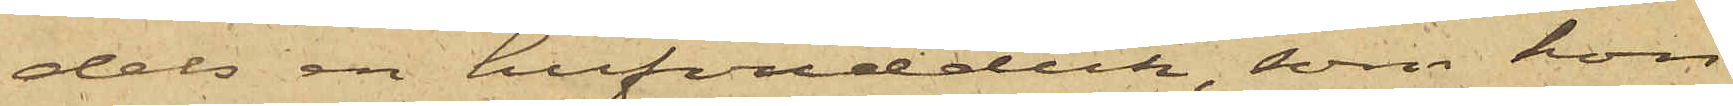dels en hufvudduk, som hon
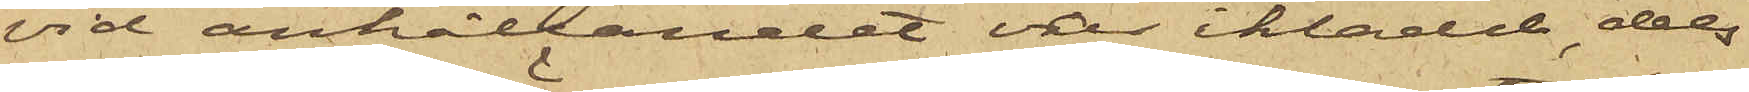vid anhållandet var iklädd, dels
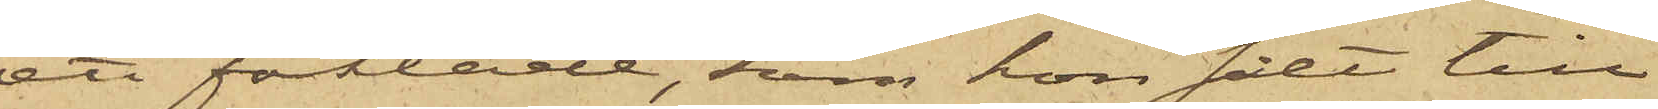ett förkläde, som hon sålt till
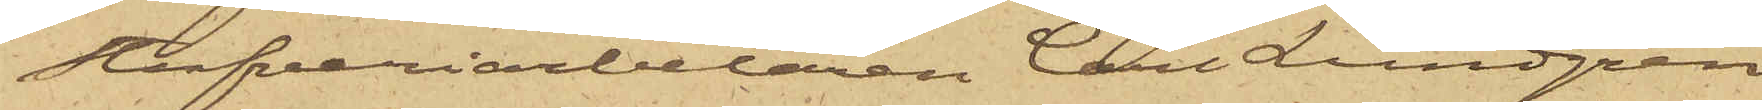Stuveriarbetaren Carl Lundgren
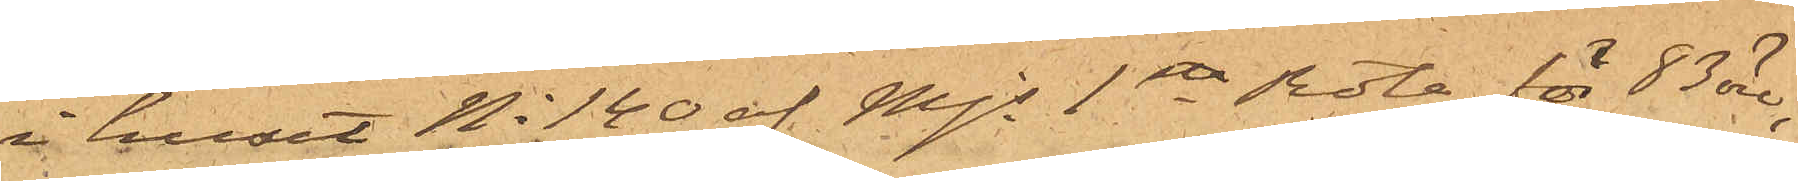i huset No 140 af Majs 1sta Rote för 83 öre;
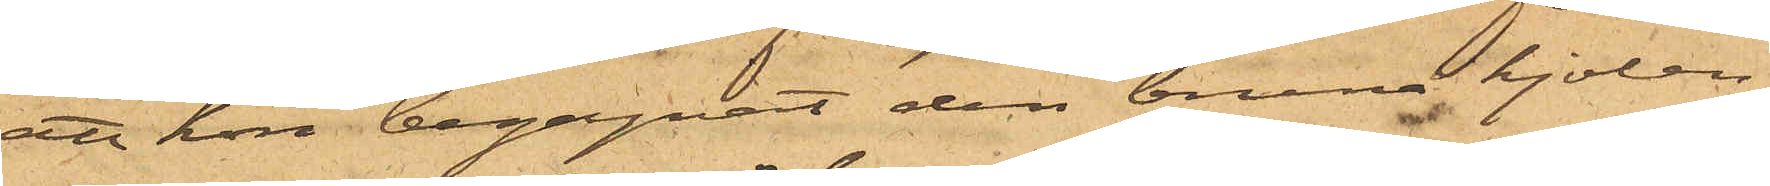att hon begagnat den bruna kjolen
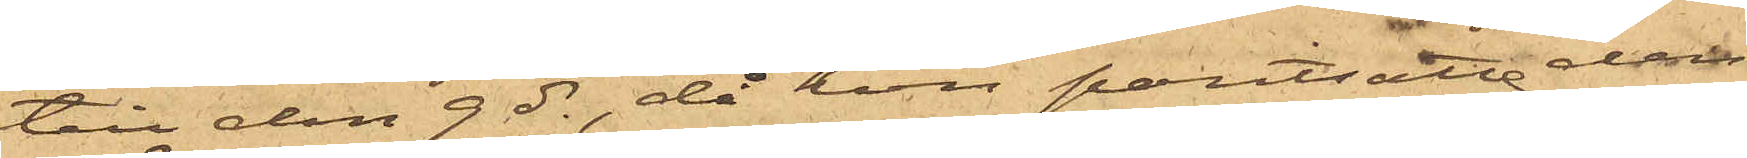till den 9 ds, då hon pantsatte den
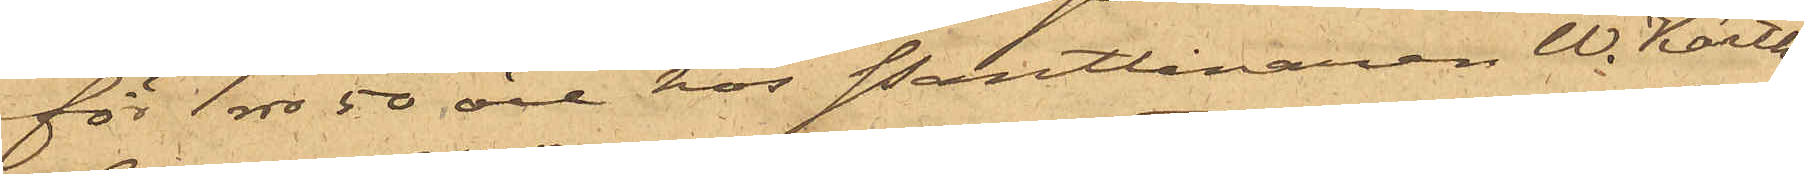för 1 rdr 50 öre hos Pantlånaren W. Karth
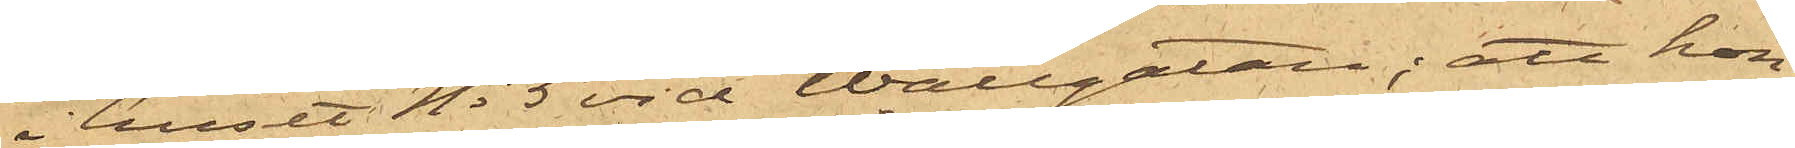i huset No 5 vid Wallgatan; att hon
